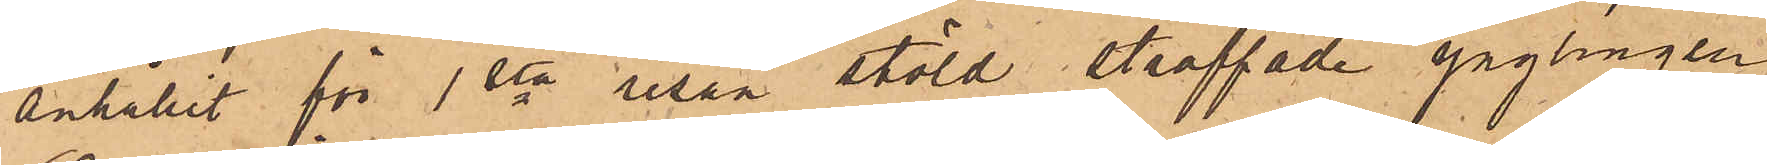anhållit för 1sta resan stöld straffade ynglingen
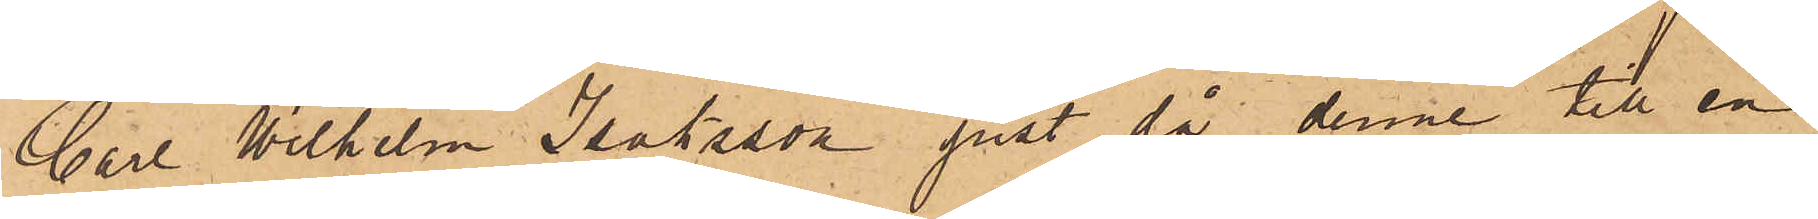Carl Wilhelm Isaksson just då denne till en
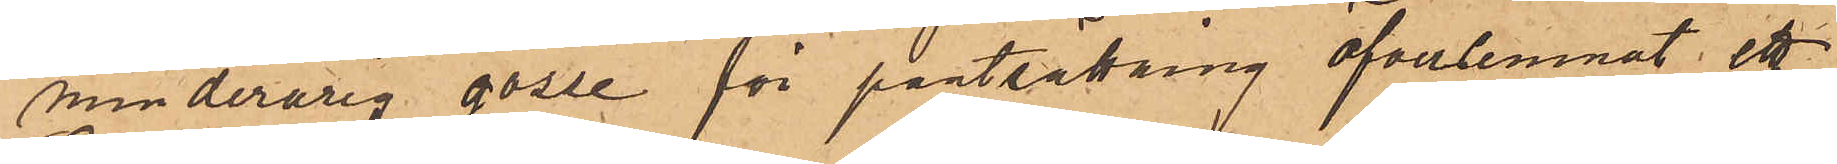minderårig gosse för pantsättning öfverlemnat ett
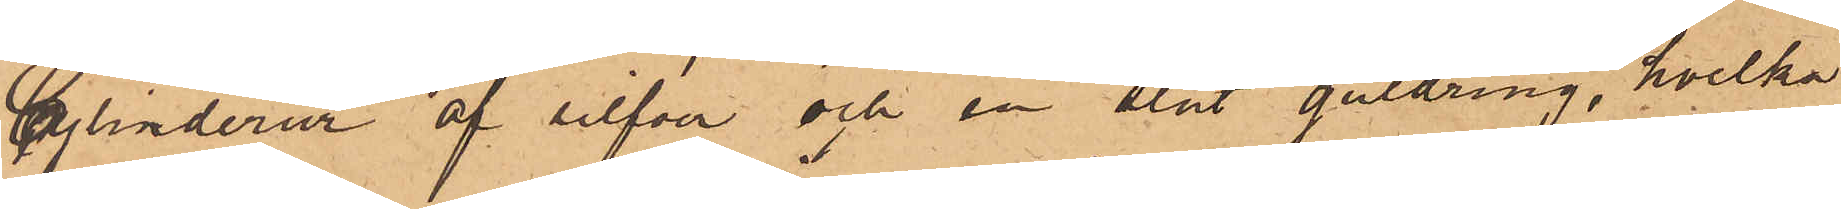Cylinderur af silfver och en slät guldring, hvilka
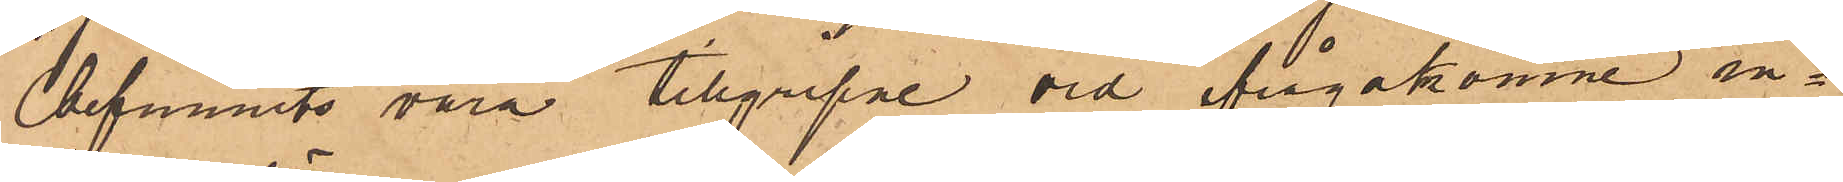befunnits vara tillgripne vid ifrågakomne in¬
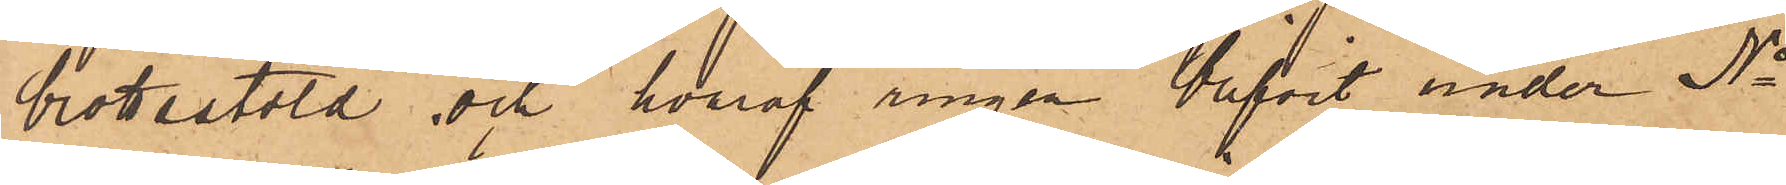brottsstöld och hvaraf ringen blifvit under No
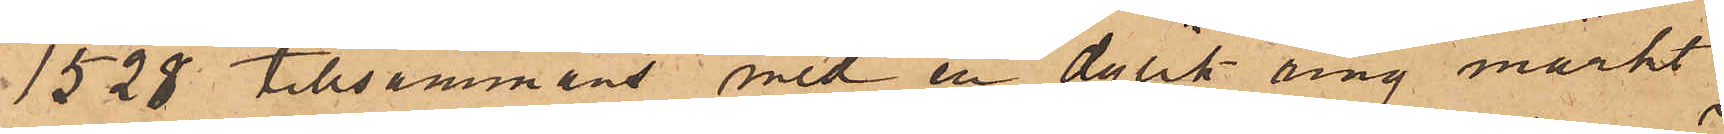1528 tillsammans med en dylik ring märkt
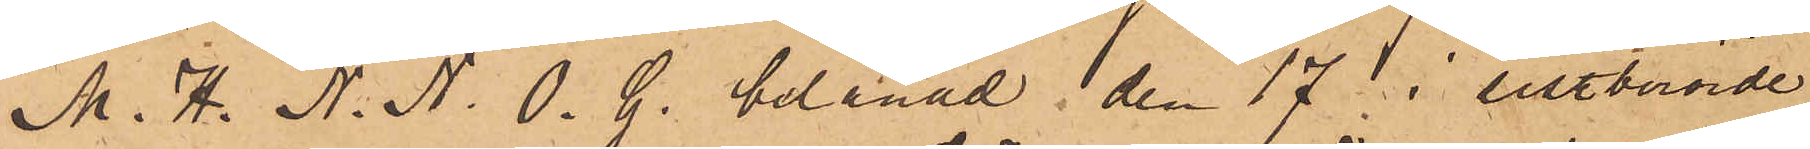M. H. N. N. O. G. belånad den 17 i sistberörde
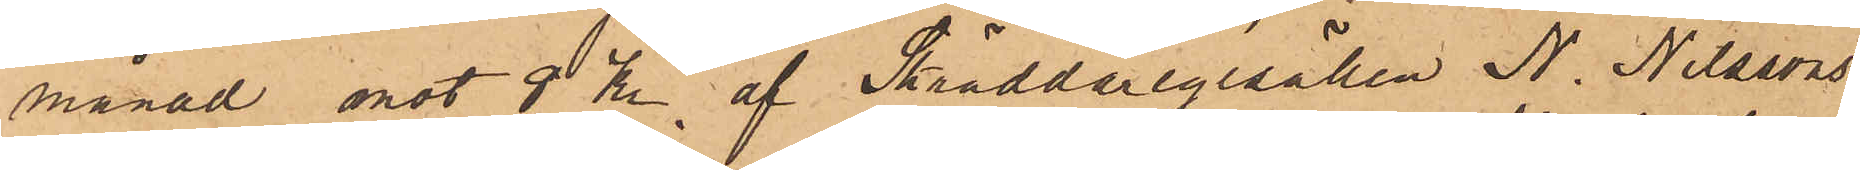månad mot 8 kr, af Skräddaregesällen N. Nilssons
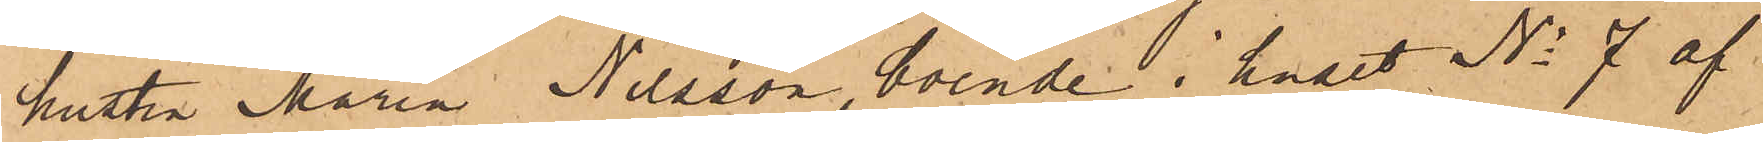hustru Maria Nilsson, boende i huset No 7 af
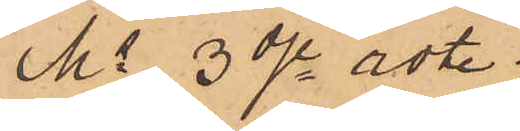Ms 3dje rote.
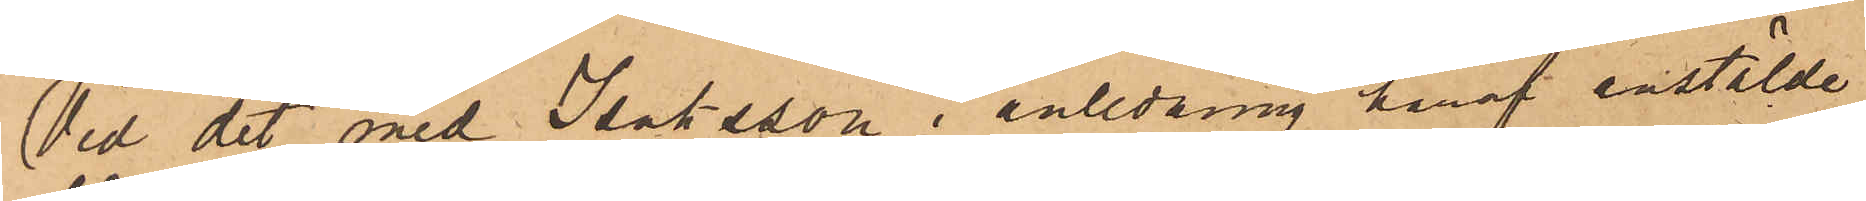Vid det med Isaksson i anledning häraf anstälde
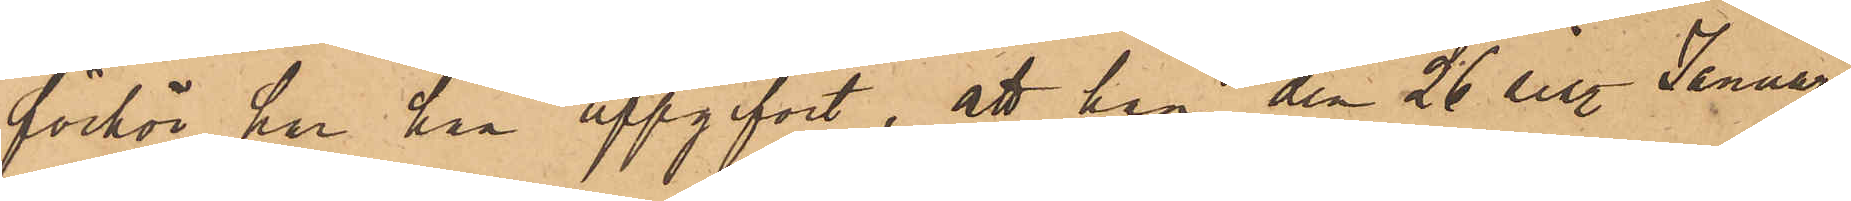förhör har han uppgifvit, att han den 26 sist. Januari
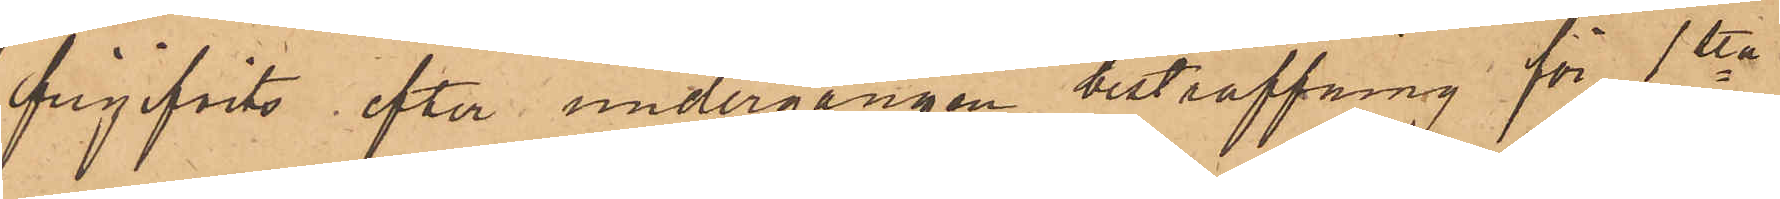frigifvits efter undergången bestraffning för 1sta
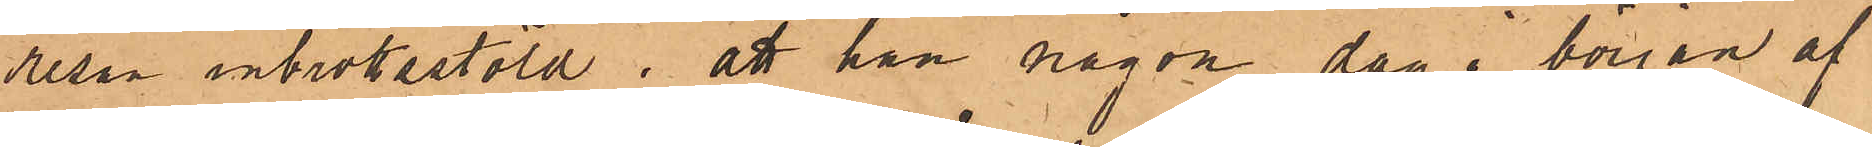resan inbrottsstöld; att han någon dag i början af
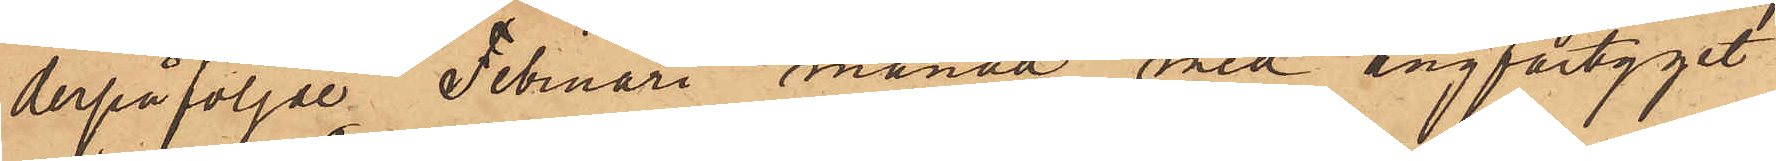derpåföljde Februari månad med ångfartyget
